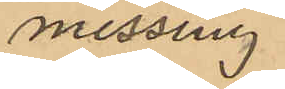messing
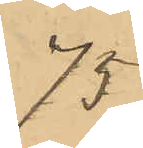75
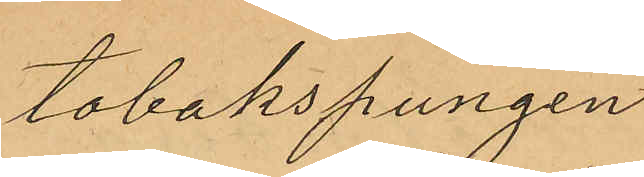tobakspungen
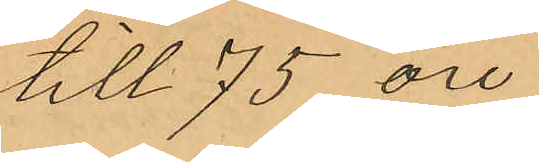till 75 öre
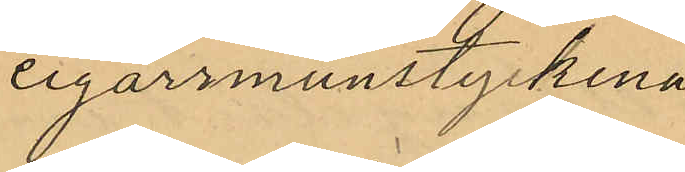cigarrmunstyckena
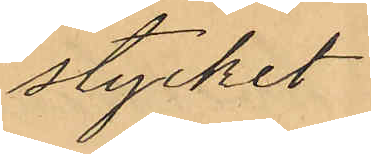stycket
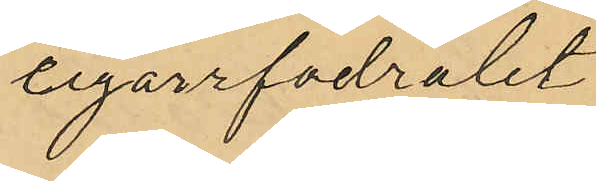cigarrfodralet
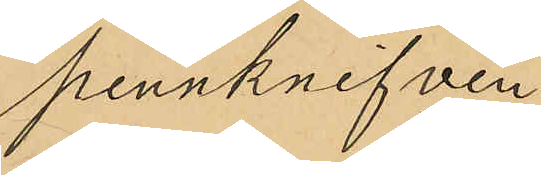pennknifven
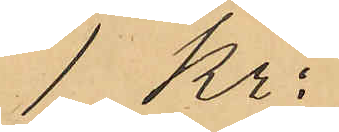1 Kr:
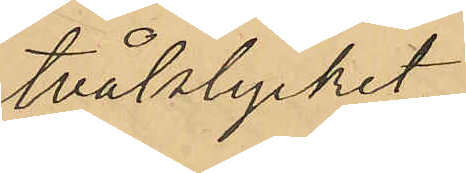tvålstycket
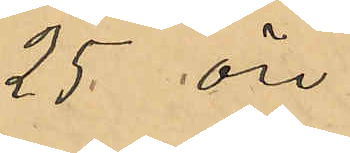25 öre
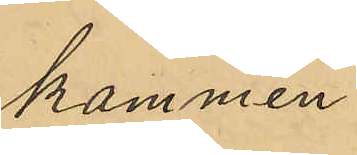kammen
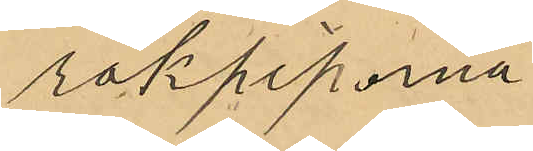rökpiporna
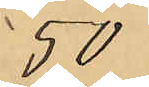50
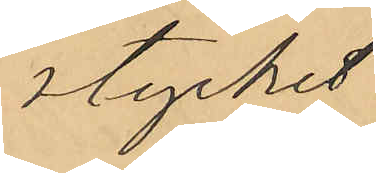stycket
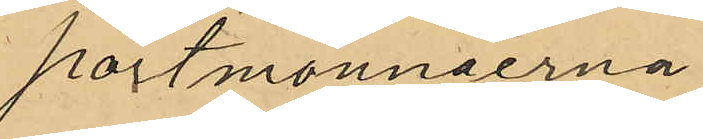portmonnäerna
